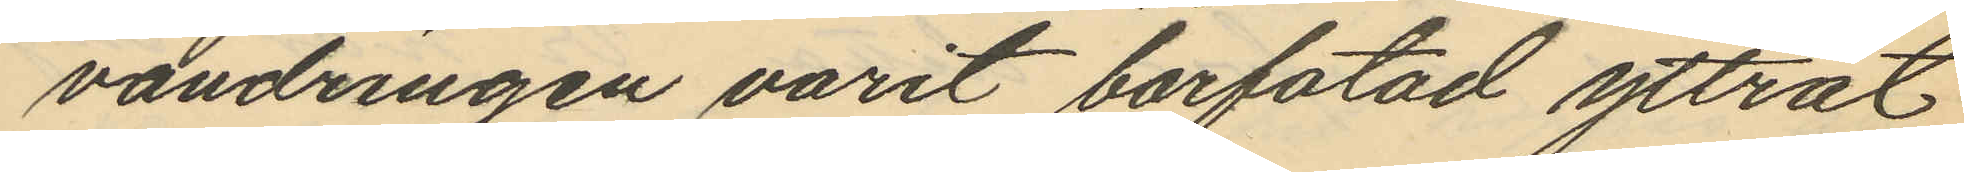vandringen varit barfotad yttrat
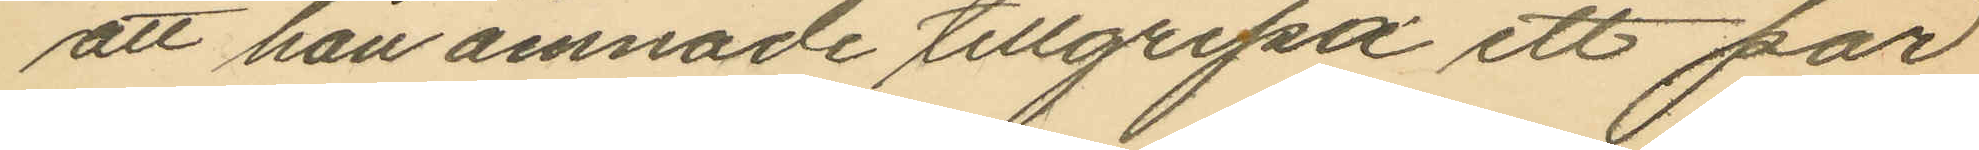att han ämnade tillgripa ett par
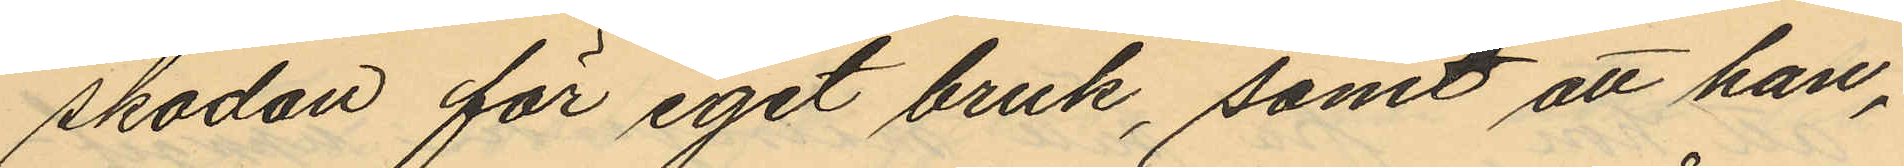skodon för eget bruk, samt att han,
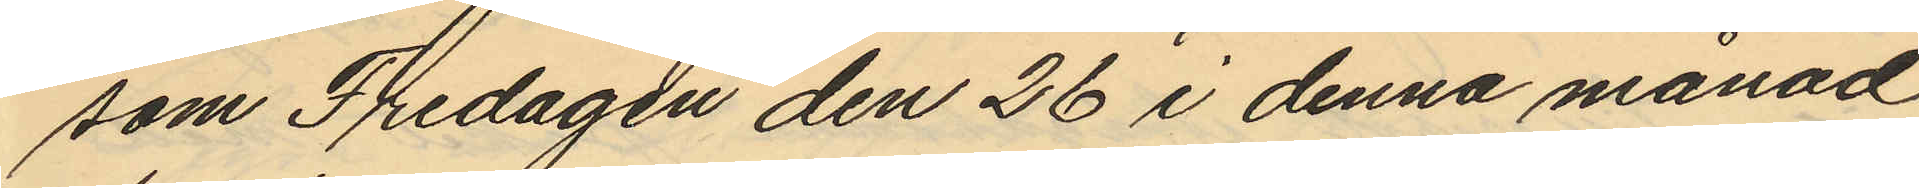som Fredagen den 26 i denna månad
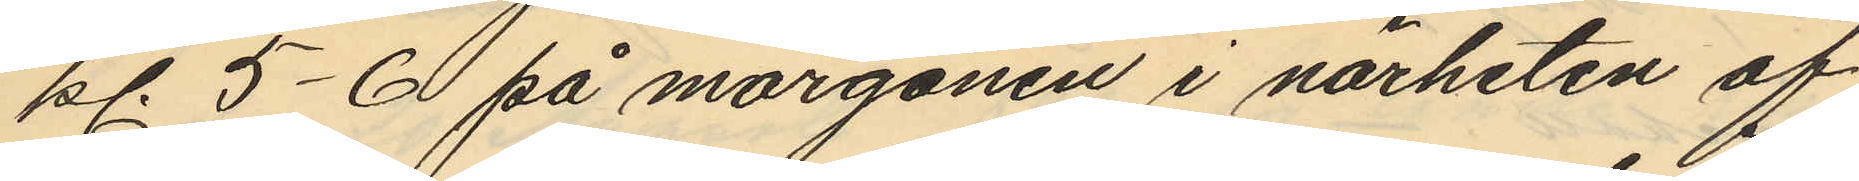kl. 5-6 på morgonen i närheten af
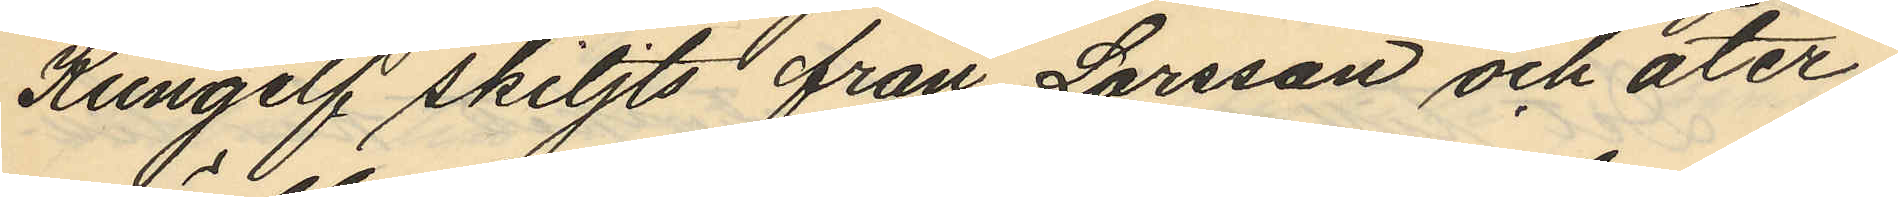Kungelf skiljts från Larsson och åter¬
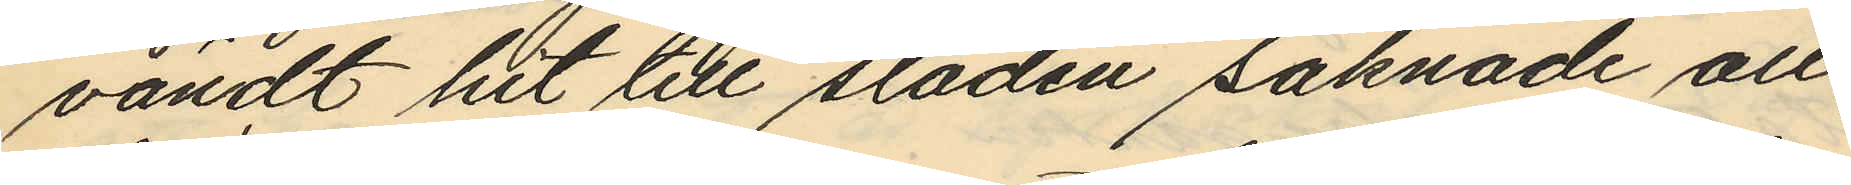vändt hit till staden saknade all
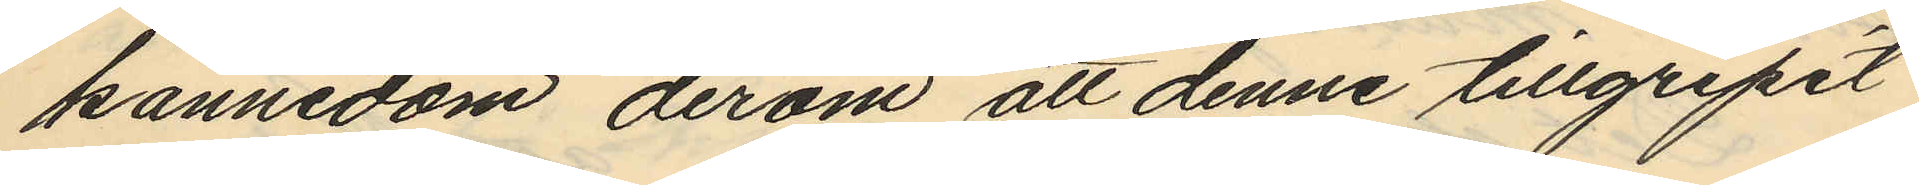kännedom derom att denne tillgripit
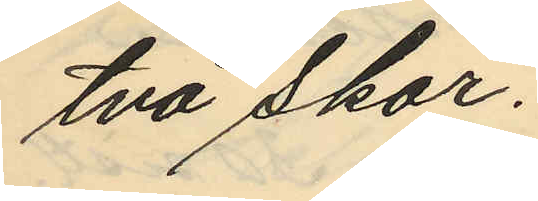två skor.
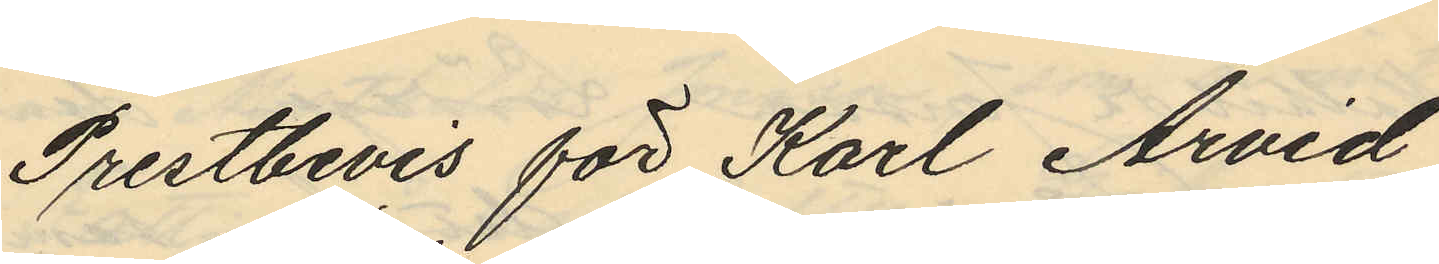Prestbevis för Karl Arvid
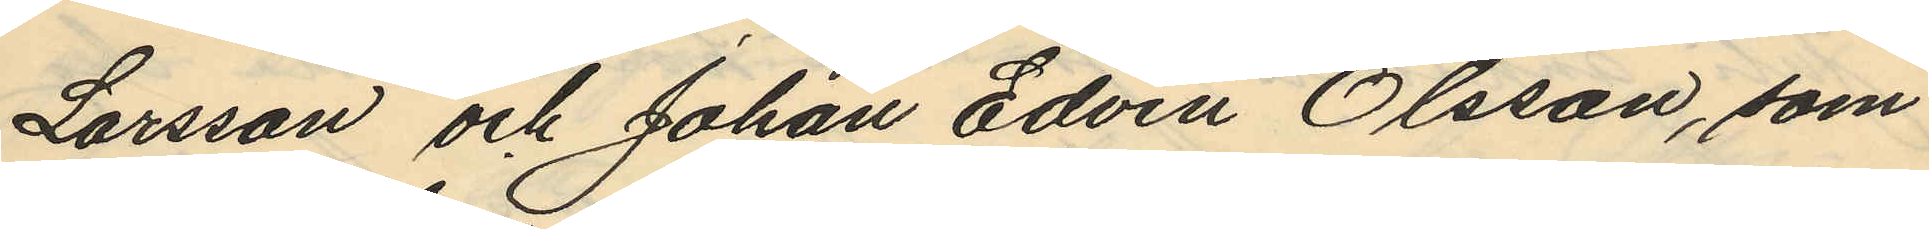Larsson och Johan Edvin Olsson, som
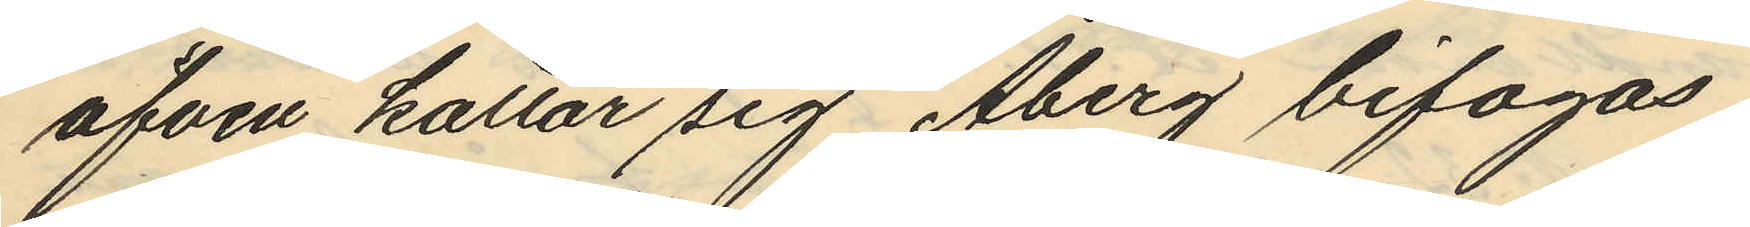äfven kallar sig Åberg bifogas
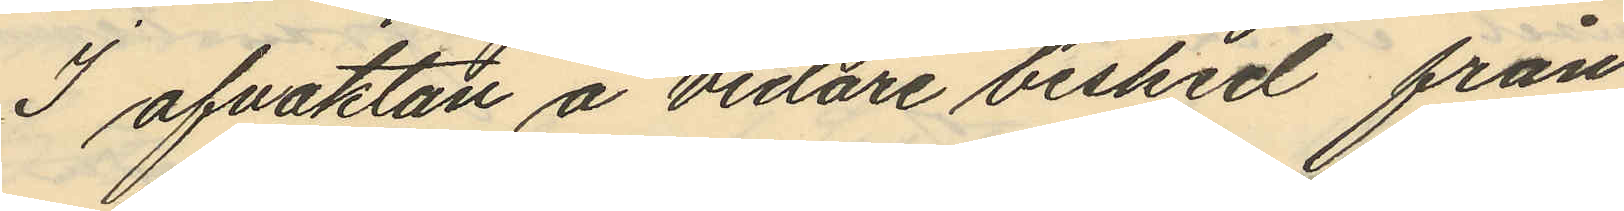I afvaktan å vidare besked från
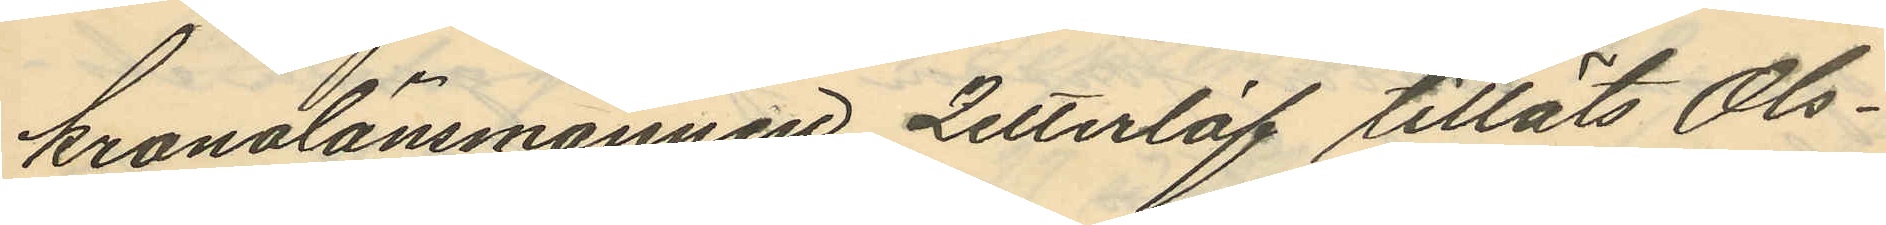kronolänsmannen Zetterlöf tilläts Ols¬
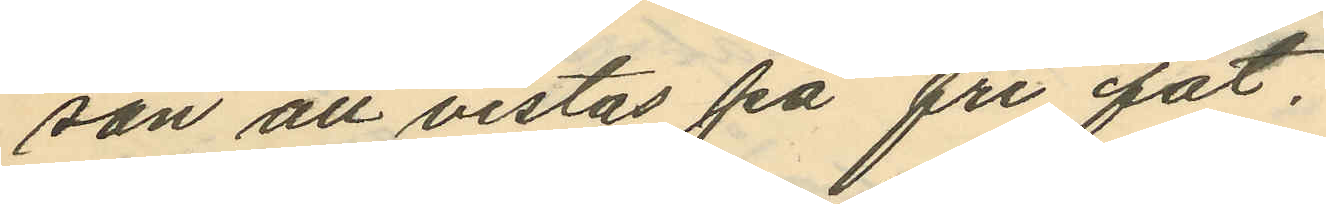son att vistas på fri fot,
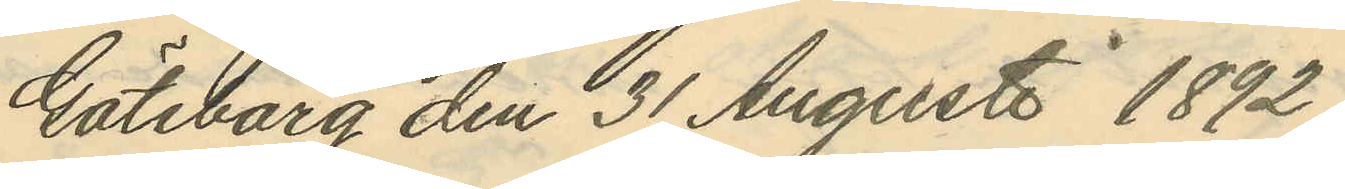Göteborg den 31 Augusti 1892
